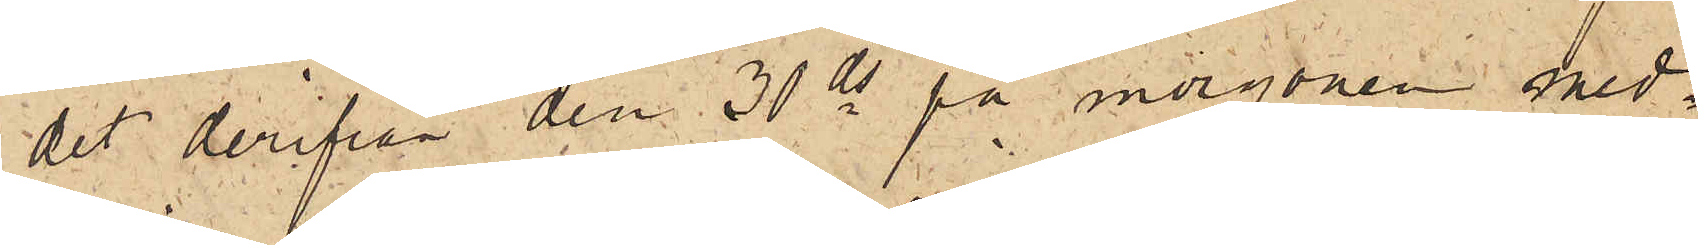det derifrån den 30 ds på morgonen med¬
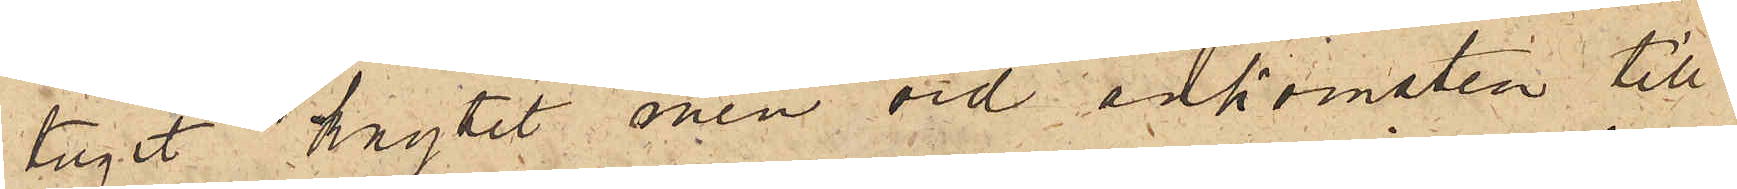tagit knytet men vid ankomsten till
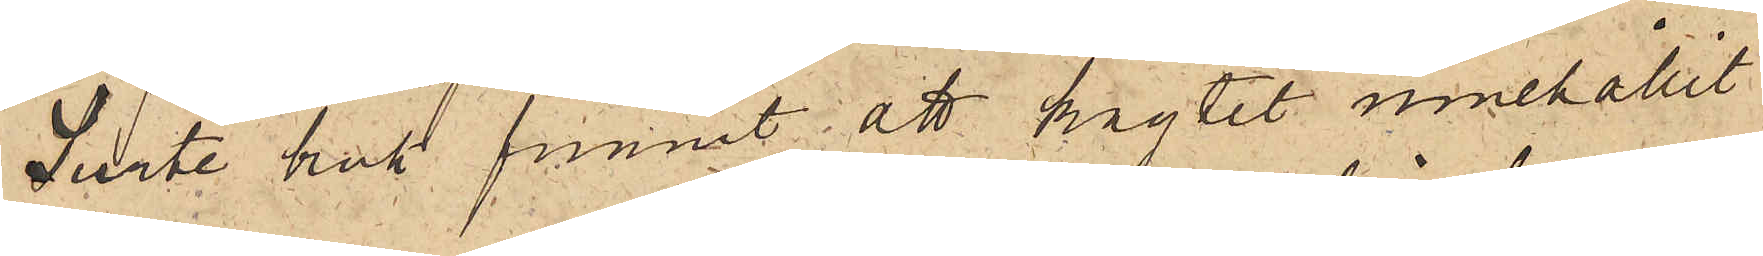Surte bruk funnit att knytet innehållit
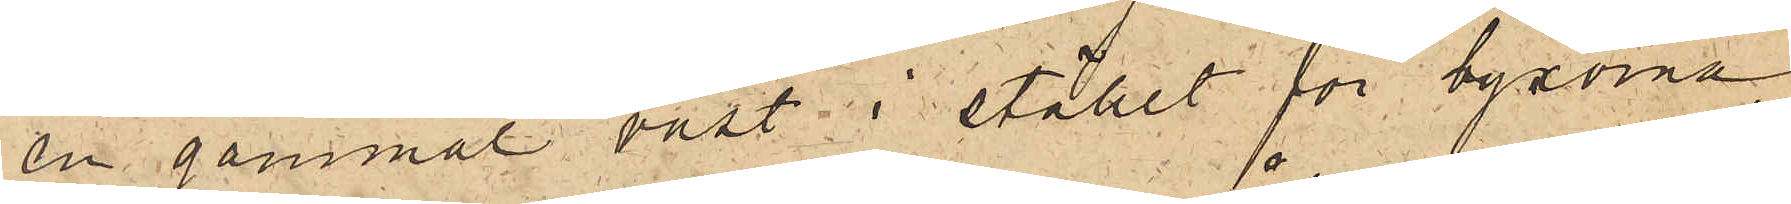en gammal väst i stället för byxorna,
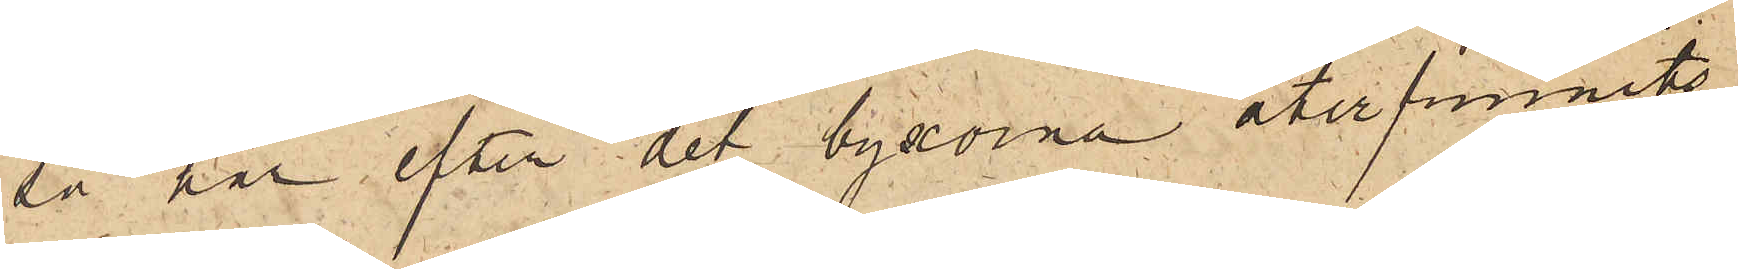så har efter det byxorna återfunnits
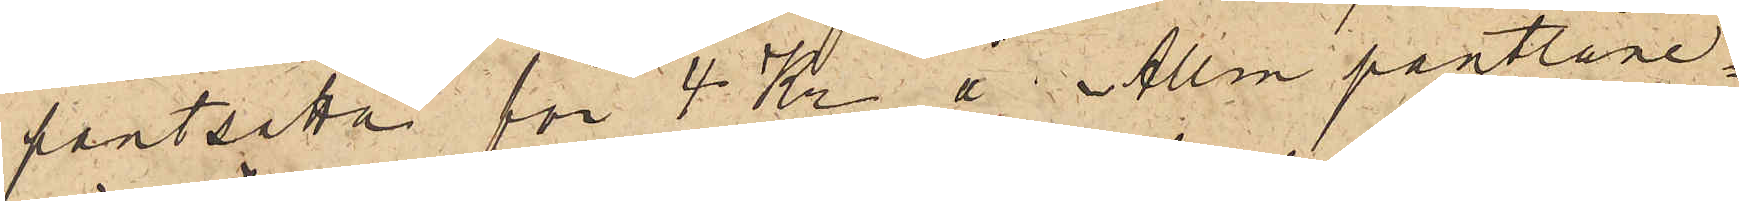pantsatta för 4 Kr å Allm pantlåne¬
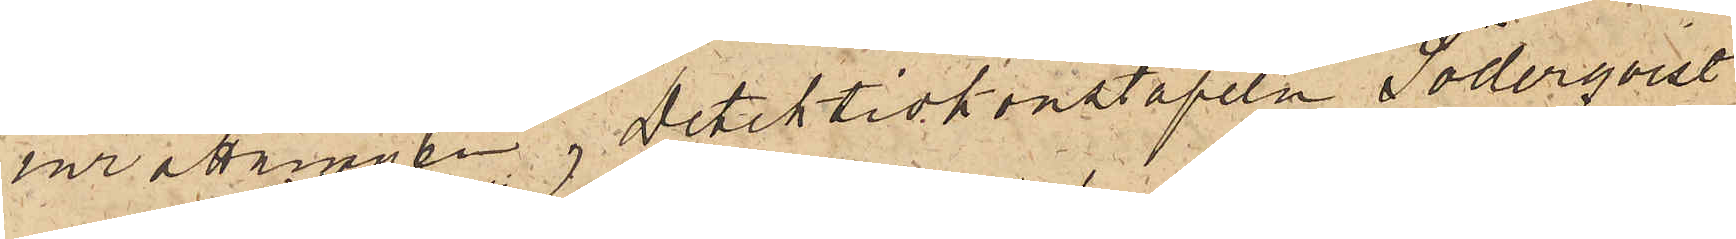inrättningen, Detektivkonstapeln Söderqvist
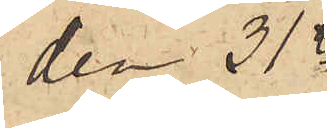den 31
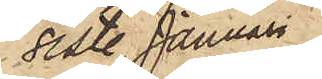sist. Januari
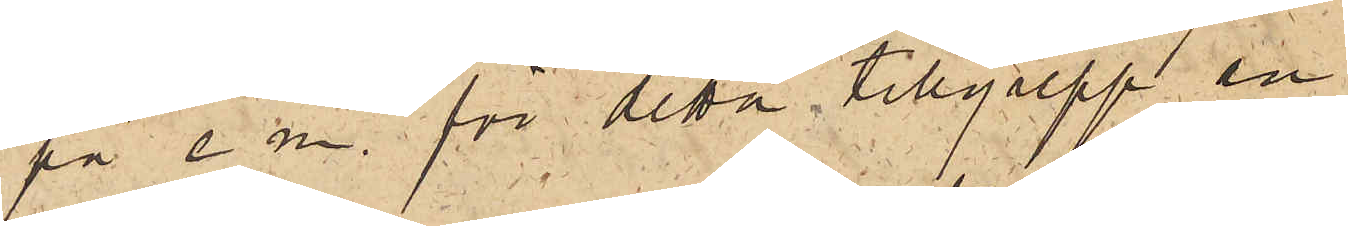på e. m. för detta tillgrepp an¬
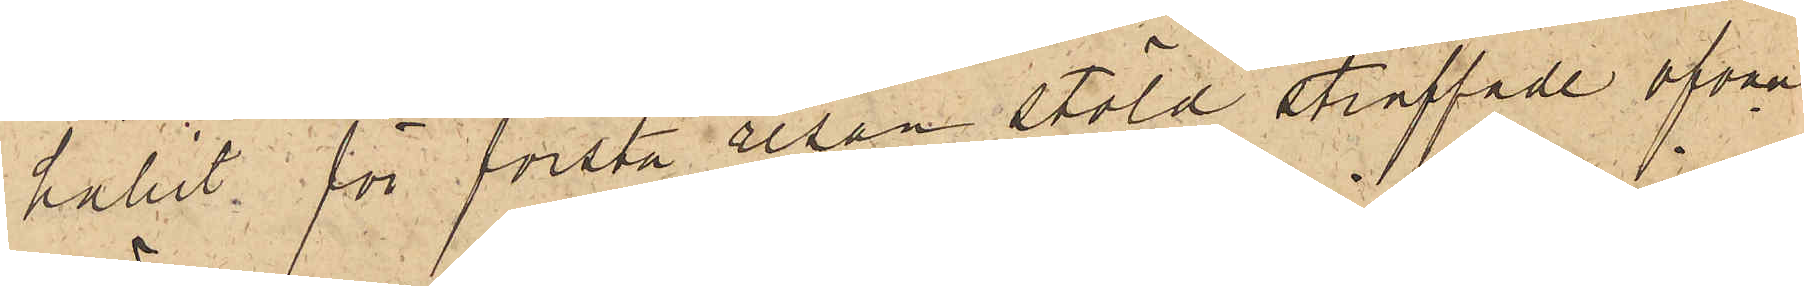hållit för första resan stöld straffade ofvan¬
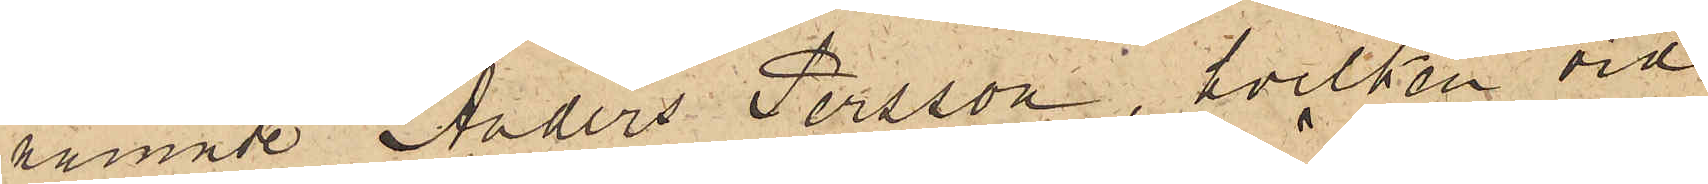nämnde Anders Persson, hvilken vid
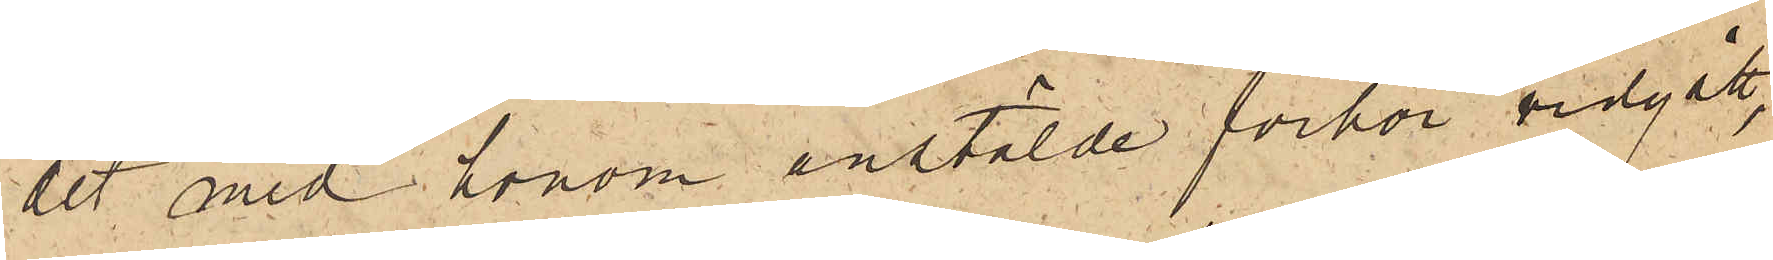det med honom anstälde förhör vidgått,
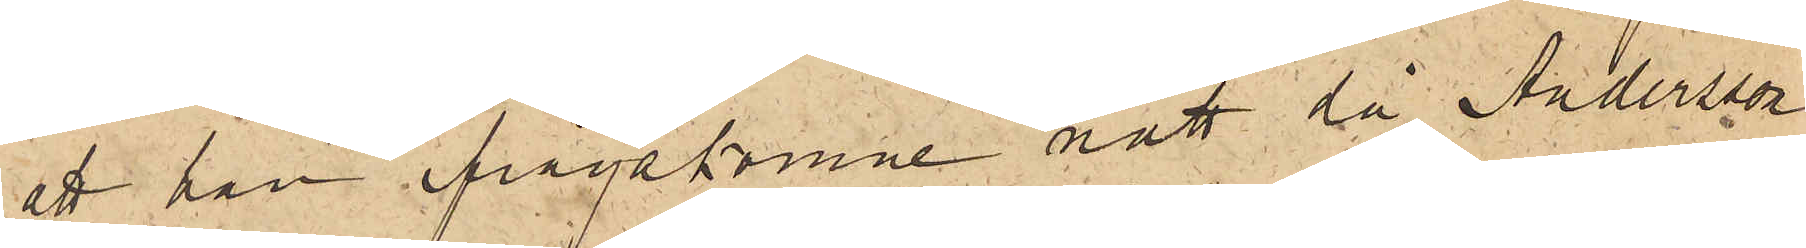att han ifrågakomne natt då Andersson
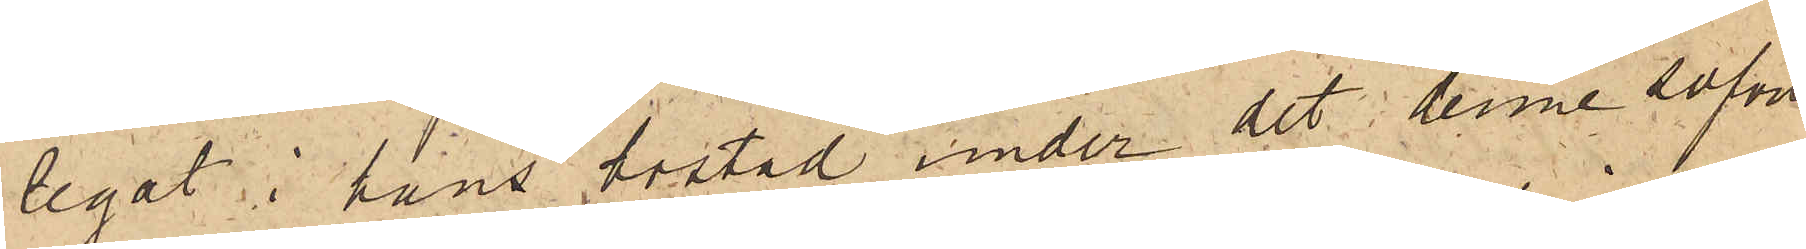legat i hans bostad under det denne sofvit
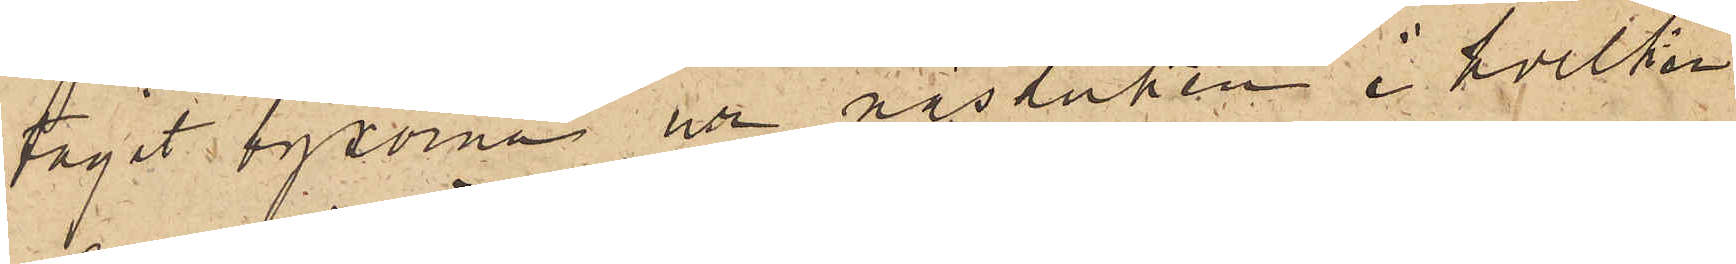tagit byxorna ur näsduken i hvilken
